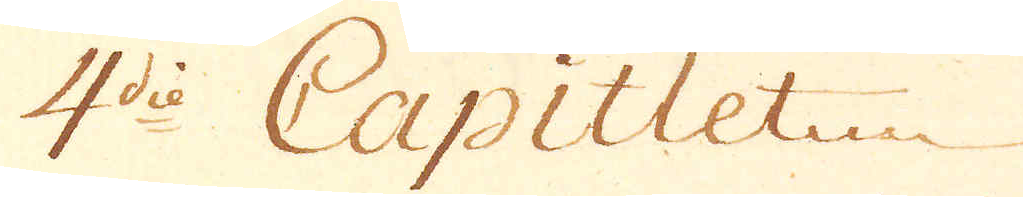4die Capitlet
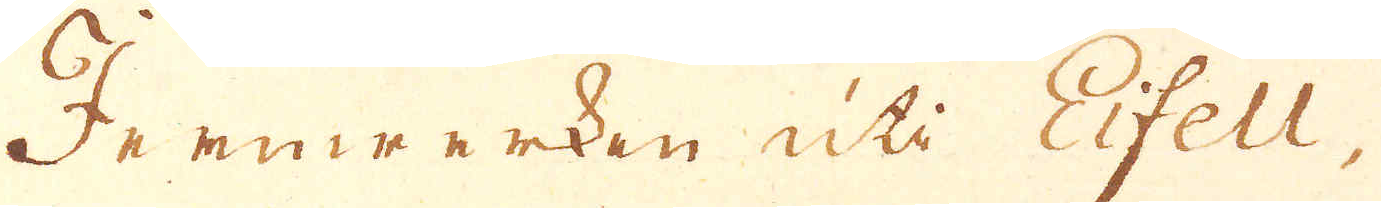Jernwerken uti Eifell,
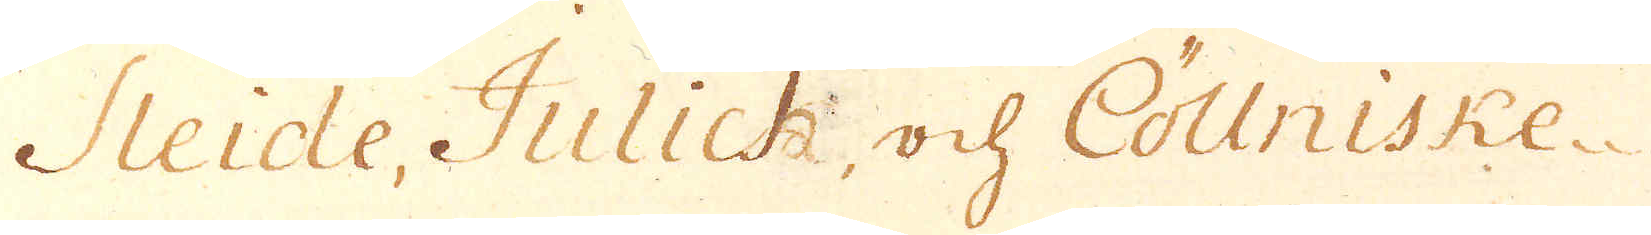Sleide, Julick, och Cöllniske
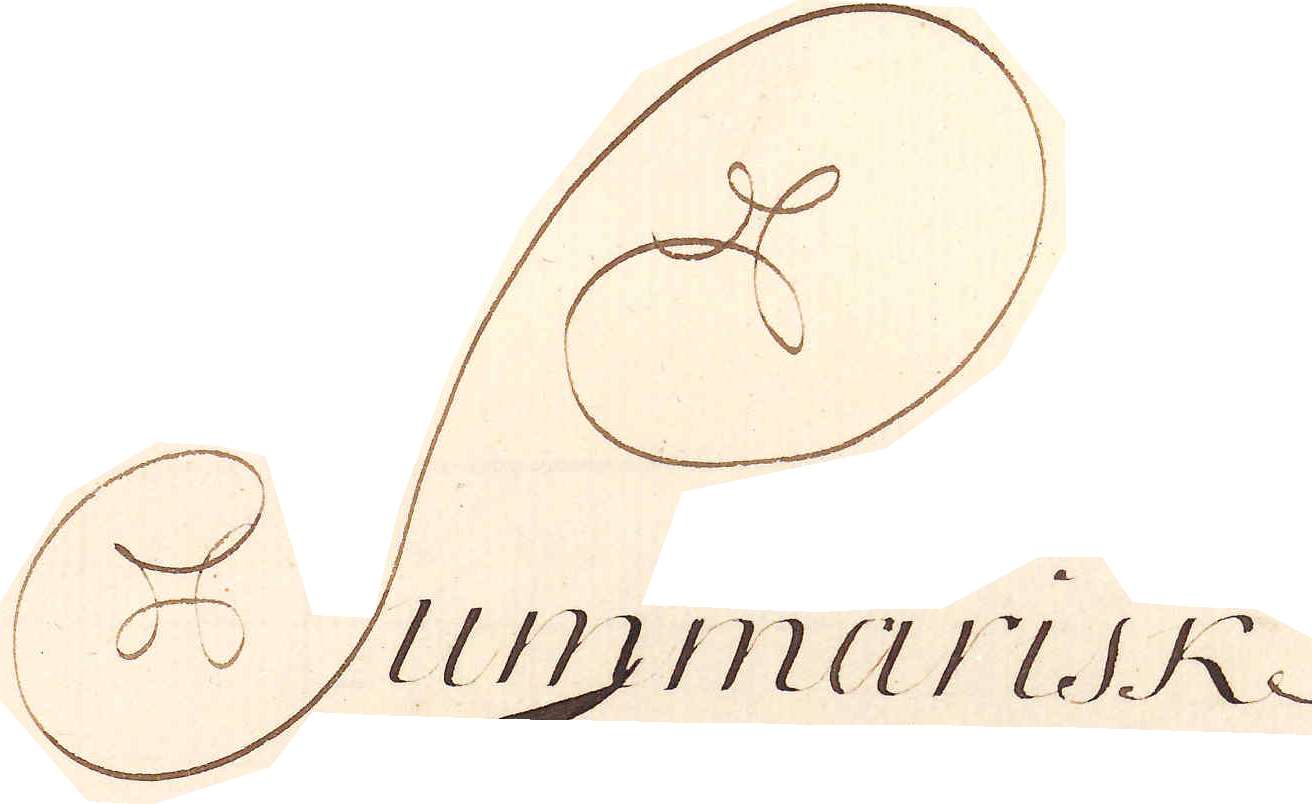Summarisk-
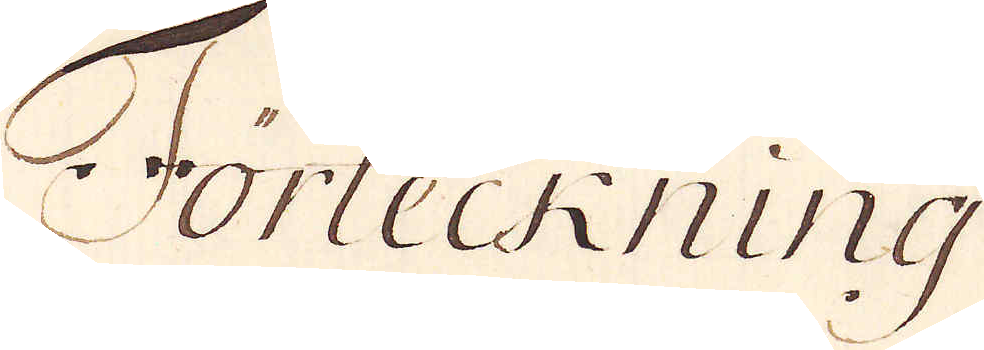Förteckning
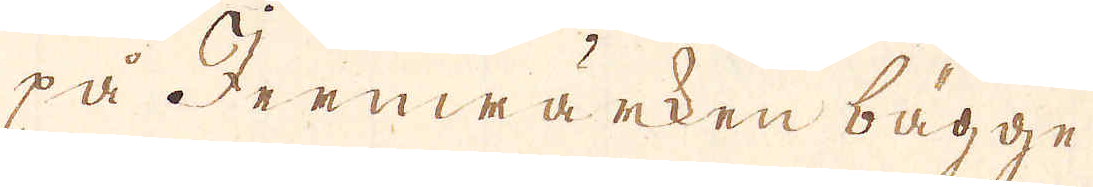på Jernwärken bägge
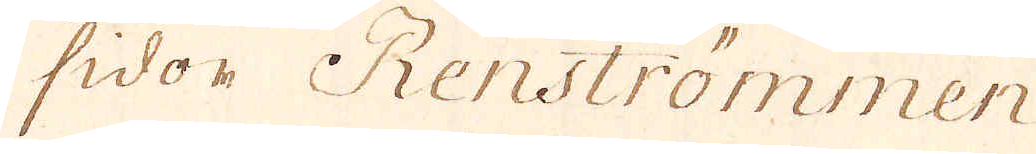sidor Renströmmen
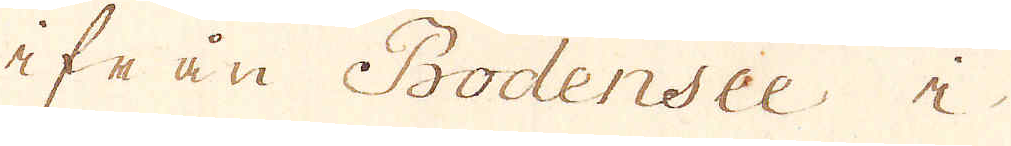ifrån Bodensee i
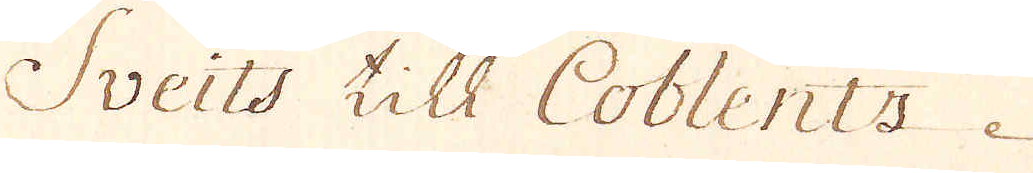Sveits till Coblentz
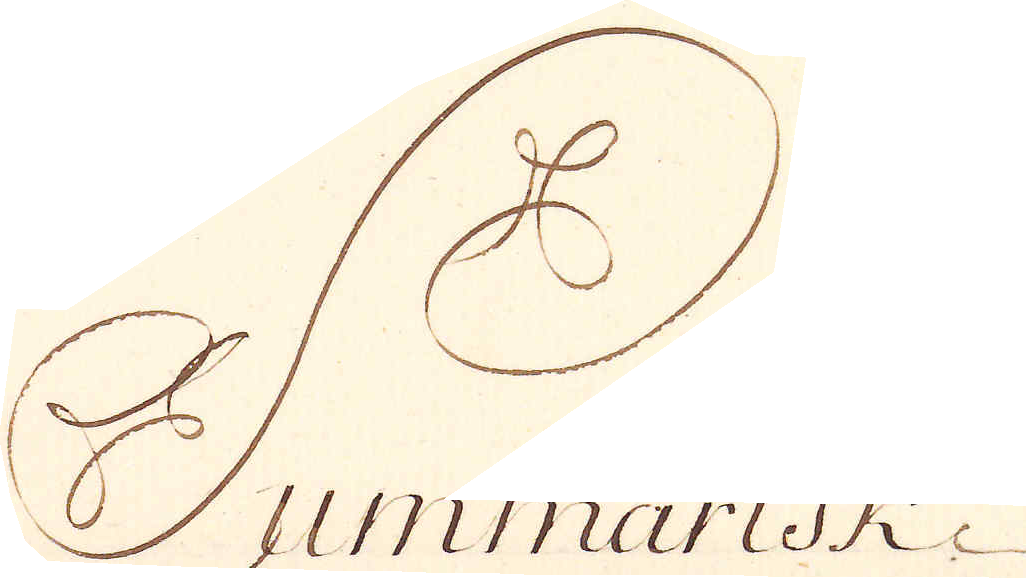Summarisk
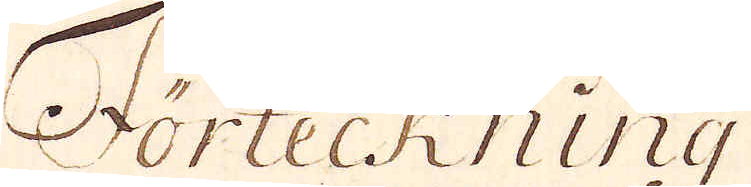Förteckning
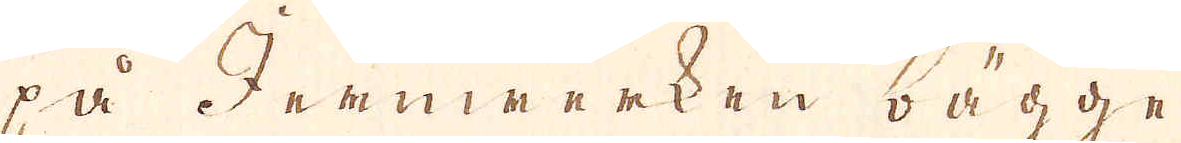på Jernwerken bägge
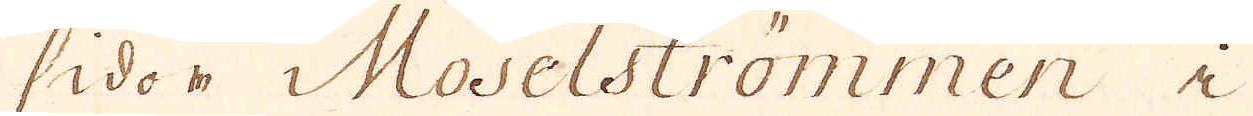sidor i Moselströmmen i
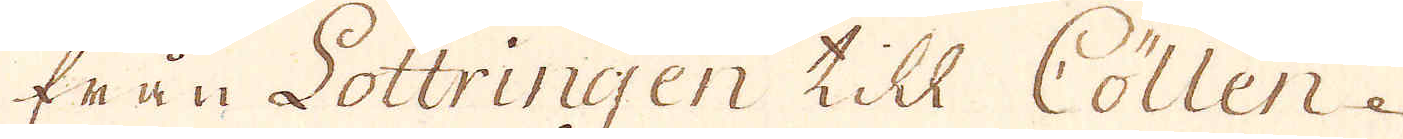från Lottringen till Cöllen.
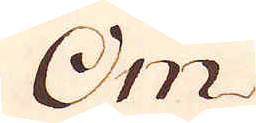Om
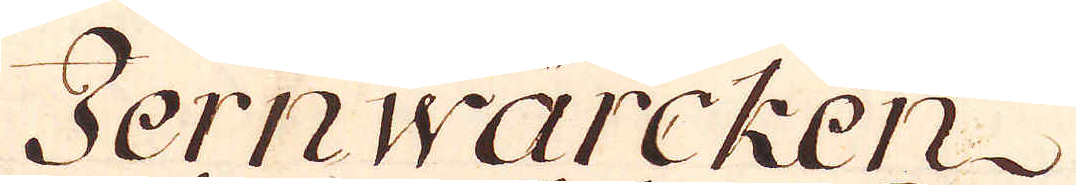Jernwärcken
